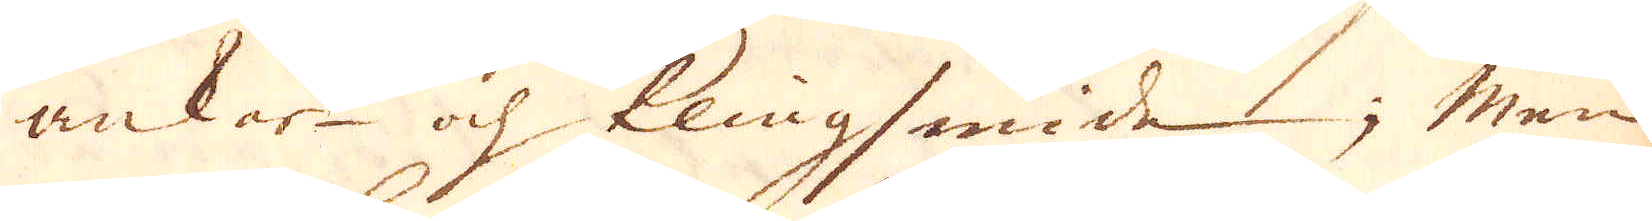ankar- och klingsmide; Men
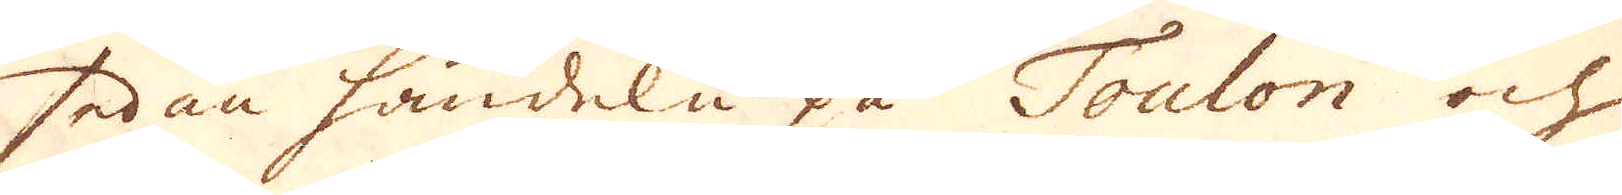sedan handeln på Toulon och
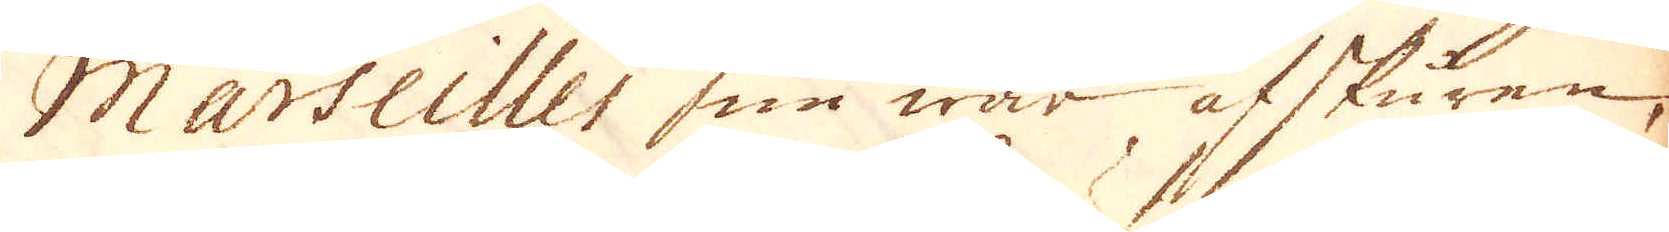Marseilles nu war afskuren,
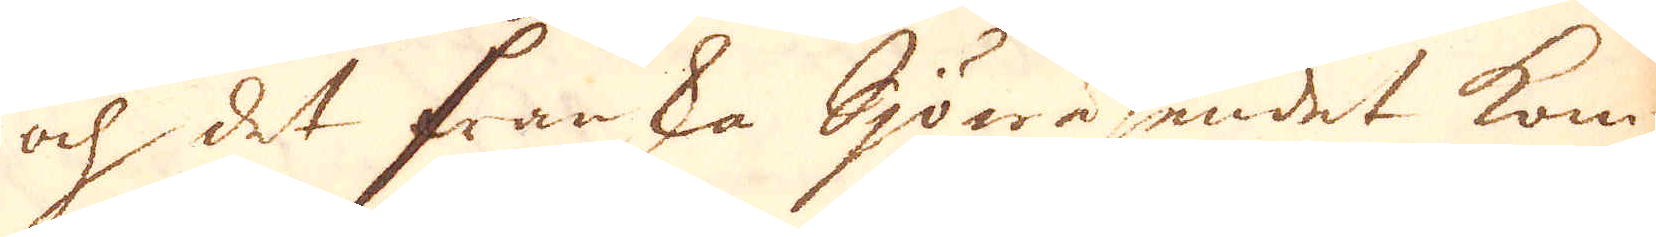och det franka sjöwäsendet kom-
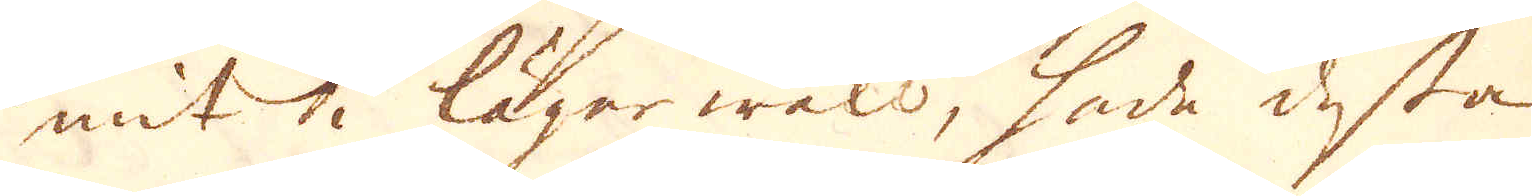mit i läger welo, hade desta
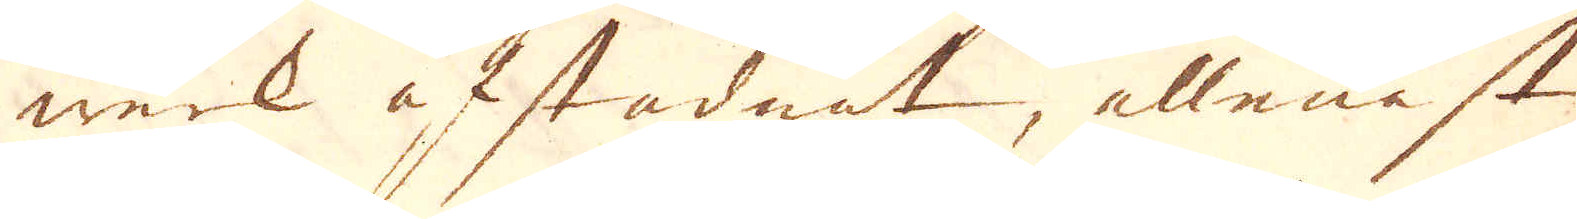werk afstadnat, allenast
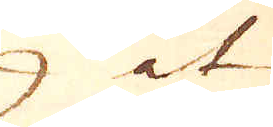at
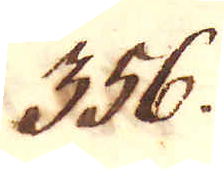356.
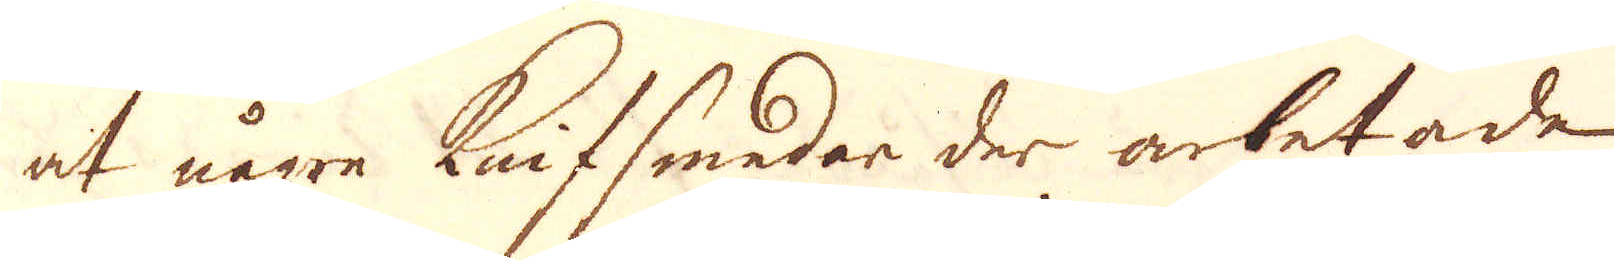at någre knifsmedar der arbetade
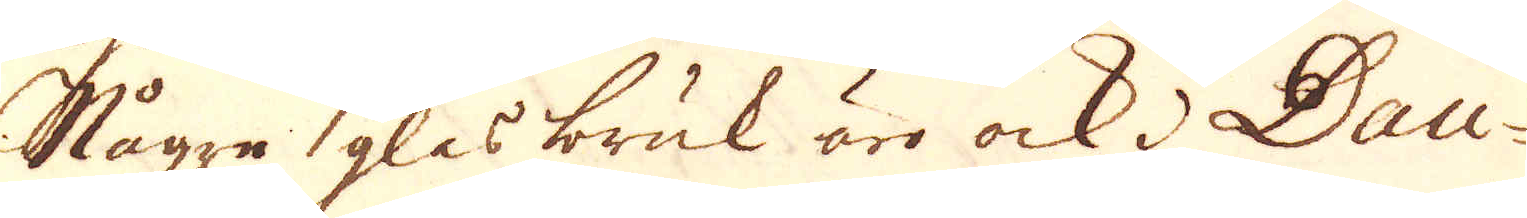Några glasbruk äro ock i Dau-
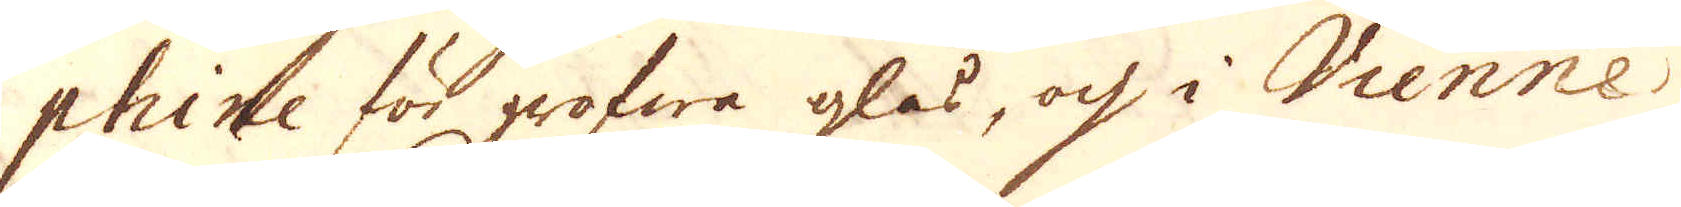phine för grofwa glas, och i Vienne
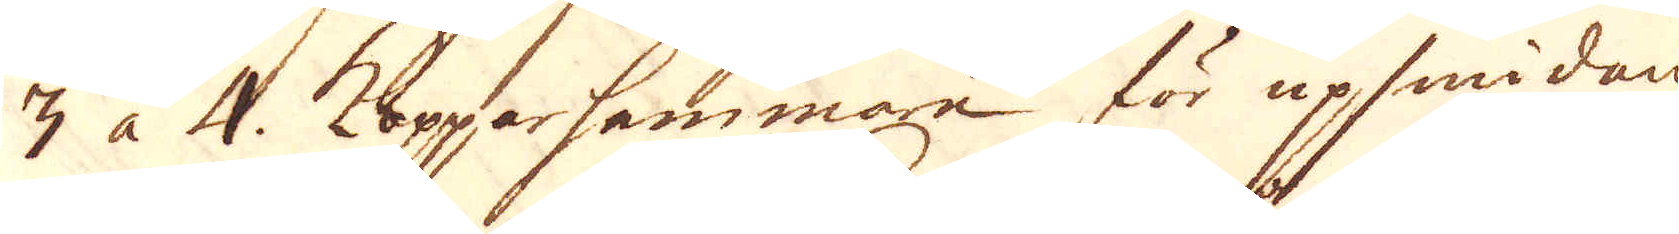3 à 4. Kopparhammare för upsmidan-
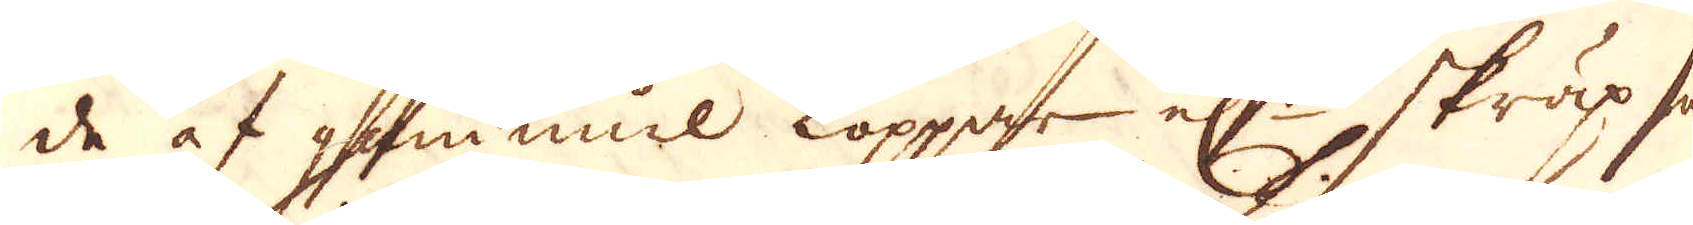de af gammul koppar el:r skräp som
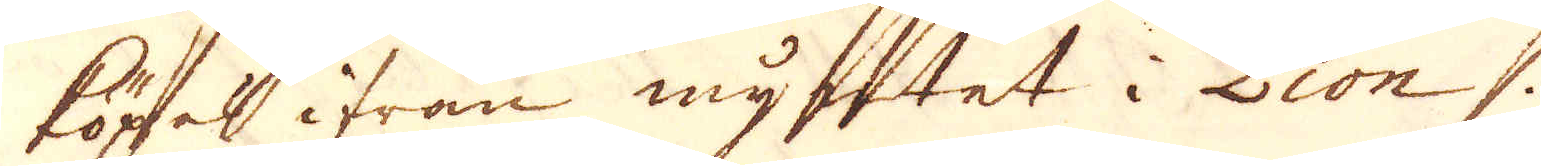köpas ifrån myntet i Lion.
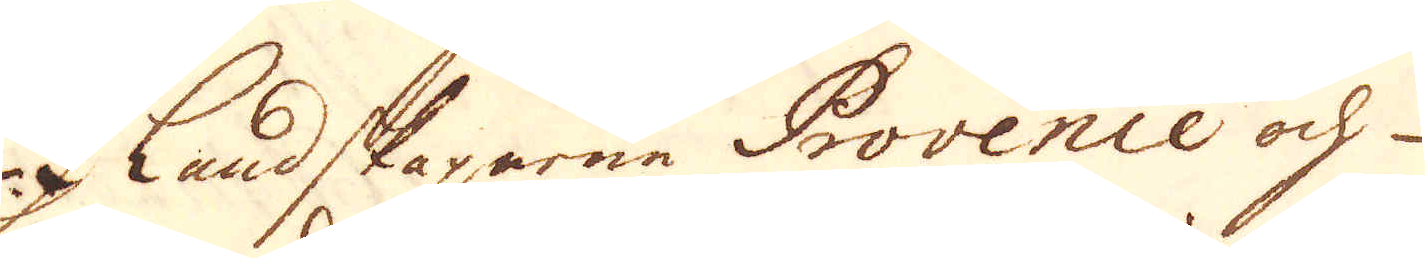I Landskaparne Provence och
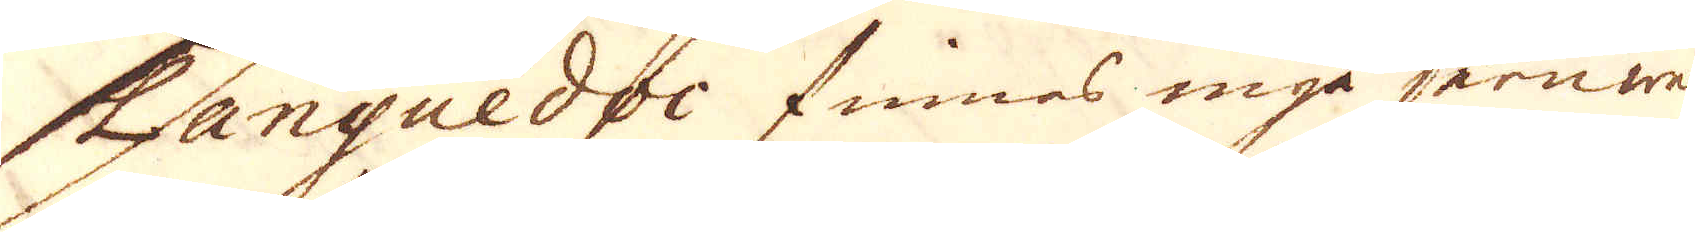Languedoc finnes inga jernwerk
